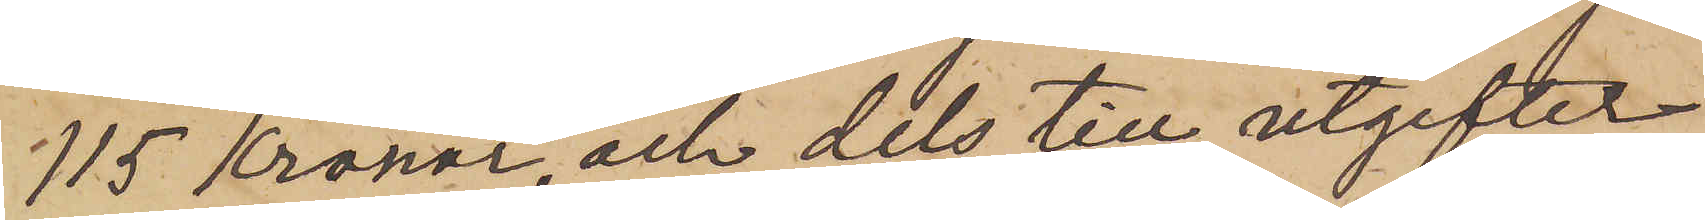115 Kronor, och dels till utgifter,
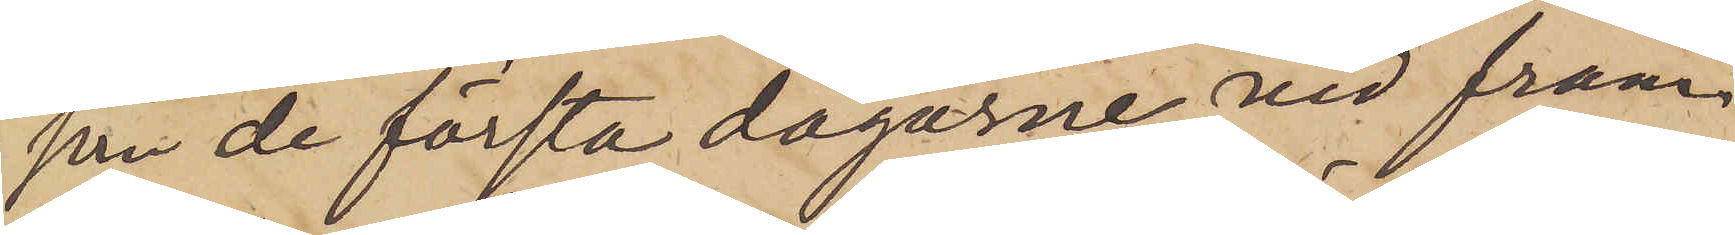som de första dagarne vid fram¬
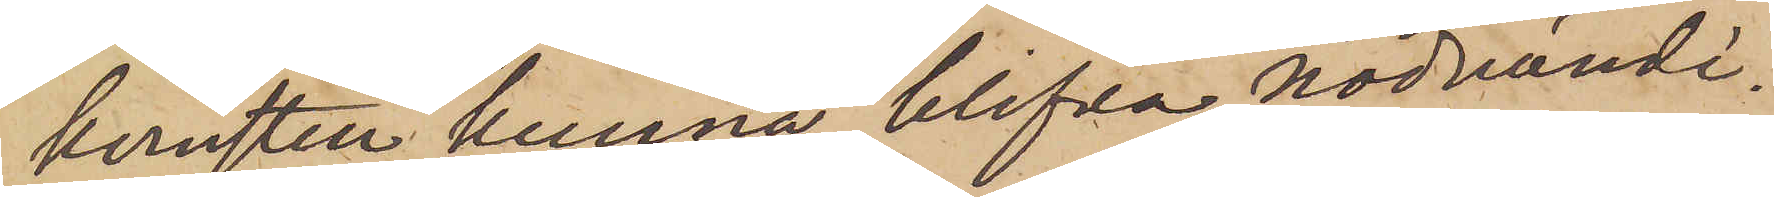komsten kunna blifva nödvändi¬
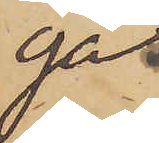ga.
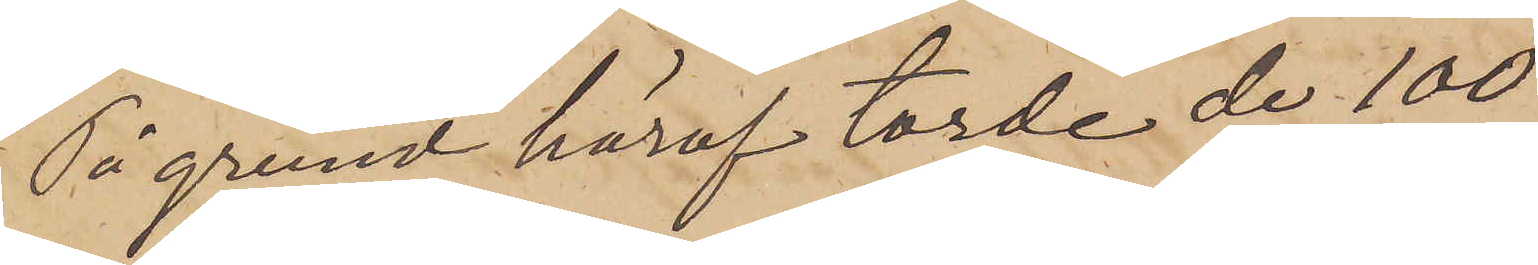På grund häraf torde de 100
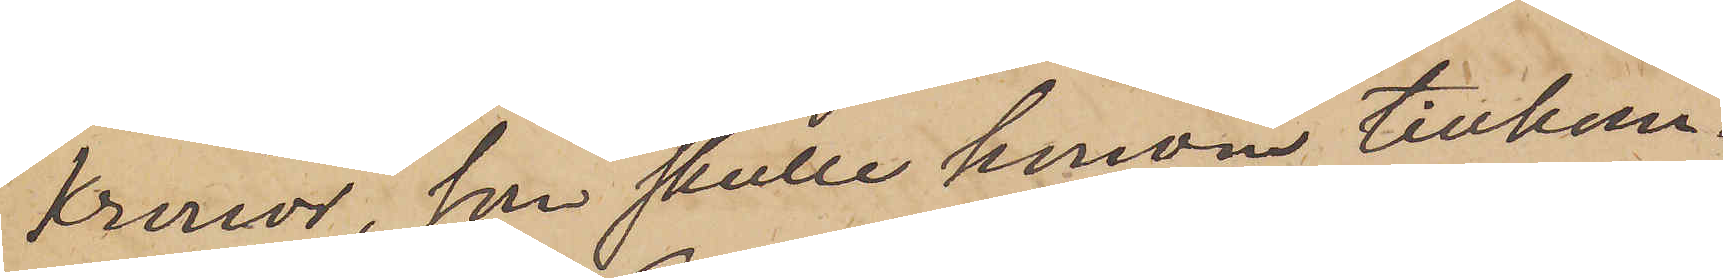Kronor, som skulle honom tillkom¬
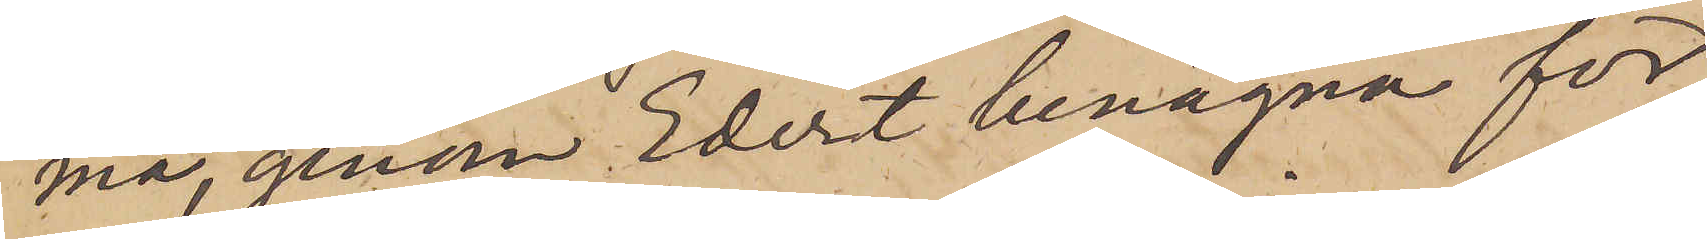ma, genom Edert benägna för¬
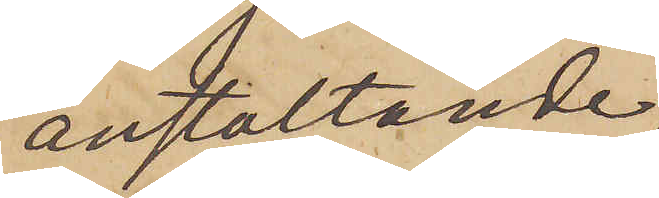anstaltande,
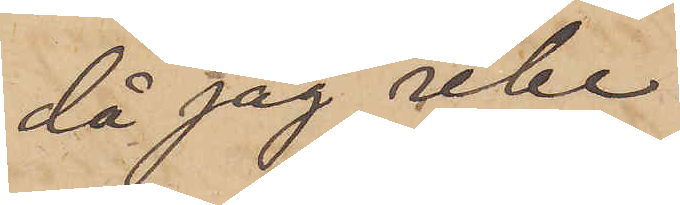då jag icke
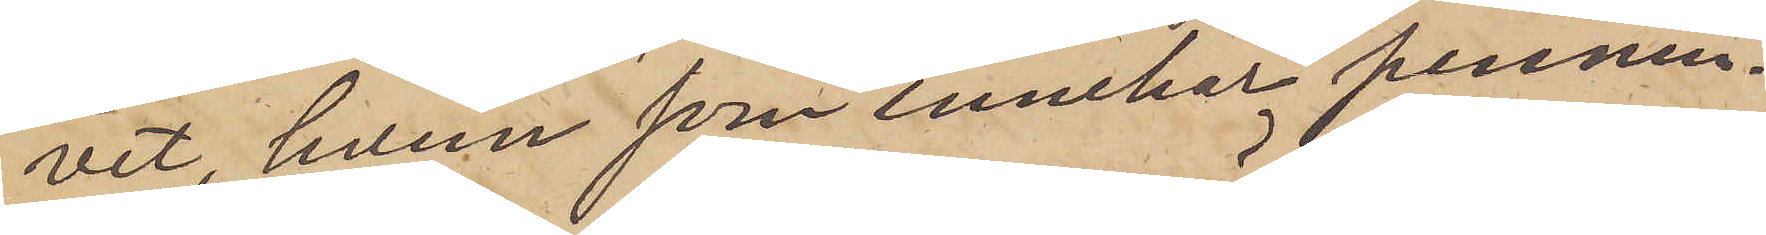vet, hvem som innehar pennin¬
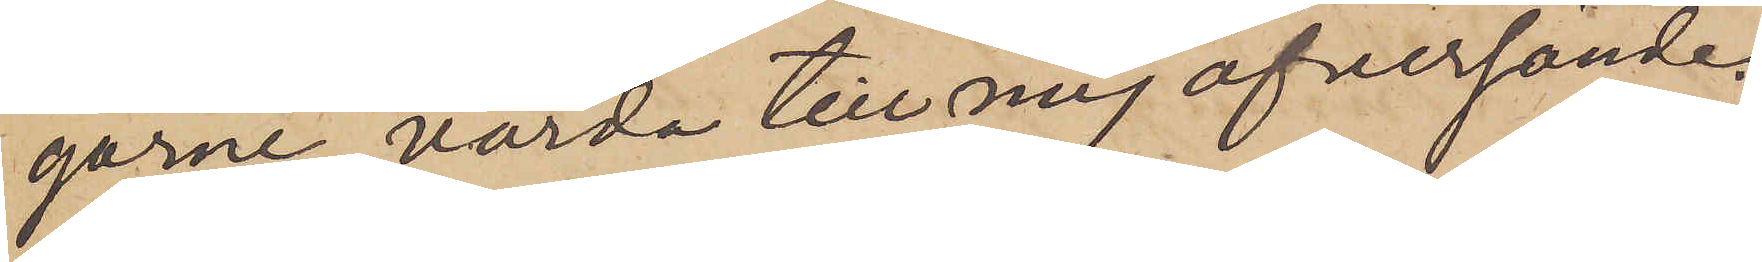garne, varda till mig öfversände.
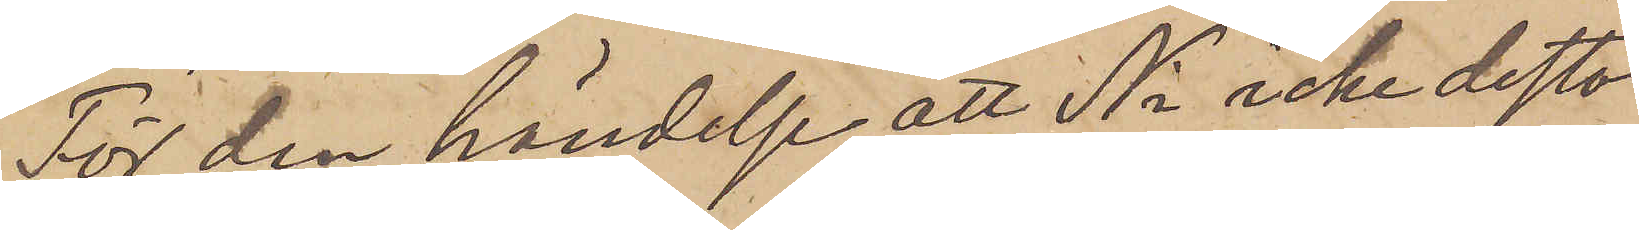För den händelse att Ni icke desto
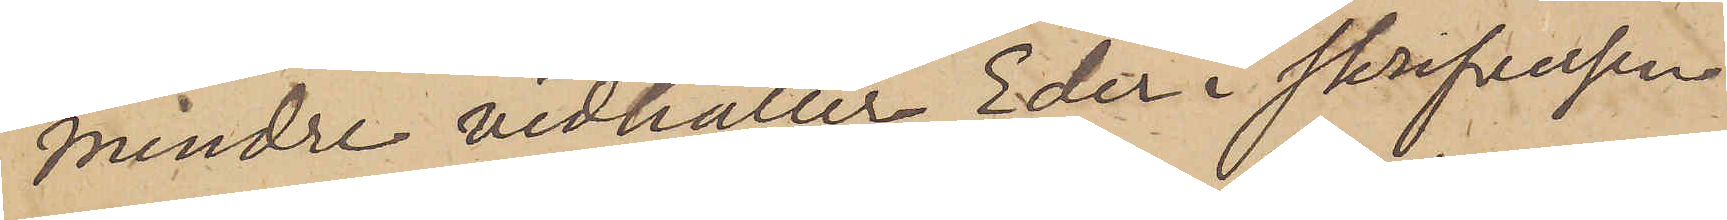mindre vidhåller Eder i skrifvelsen
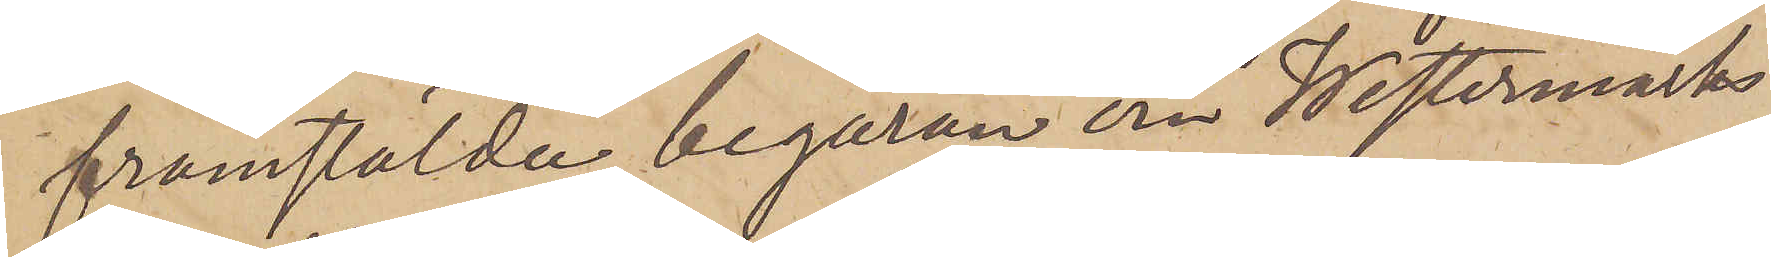framstälda begäran om Westermarks
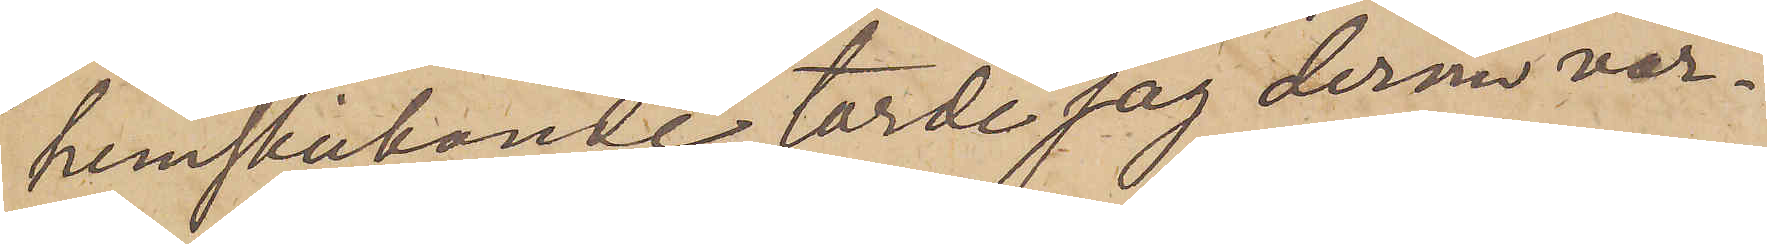hemskickande, torde jag dermed var¬
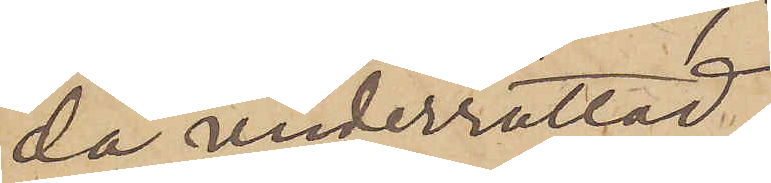da underrättad.
